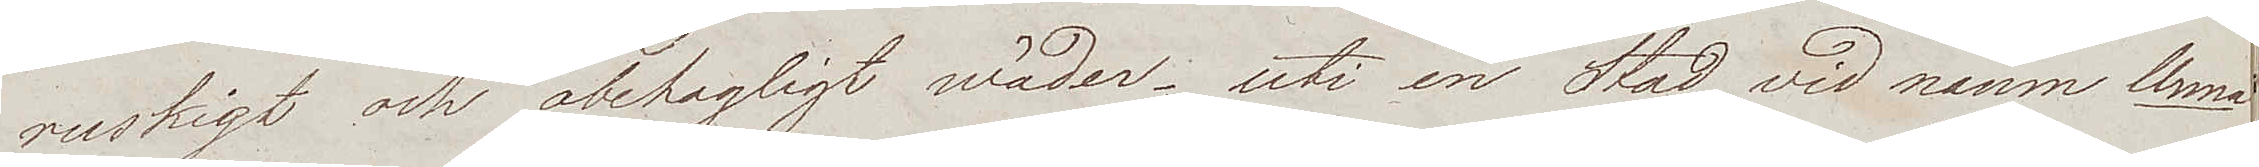ruskigt och obehagligt wäder; uti en Stad vid namn Unna
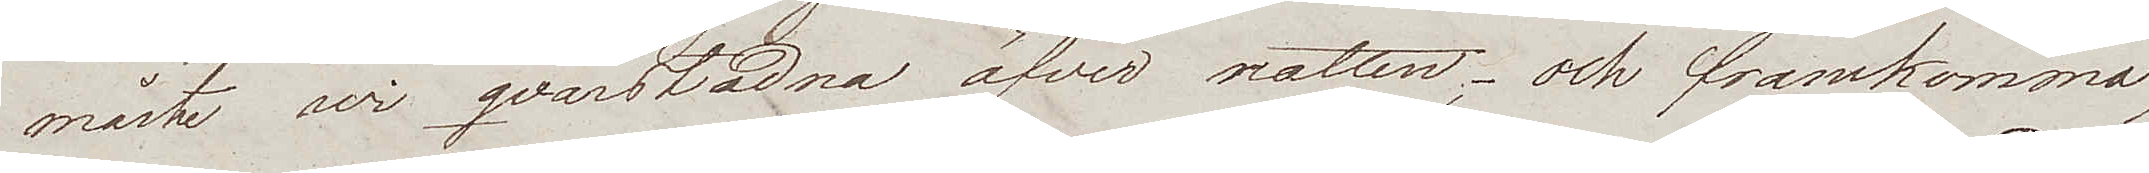måste wi qvarstadna öfver natten; och framkommo
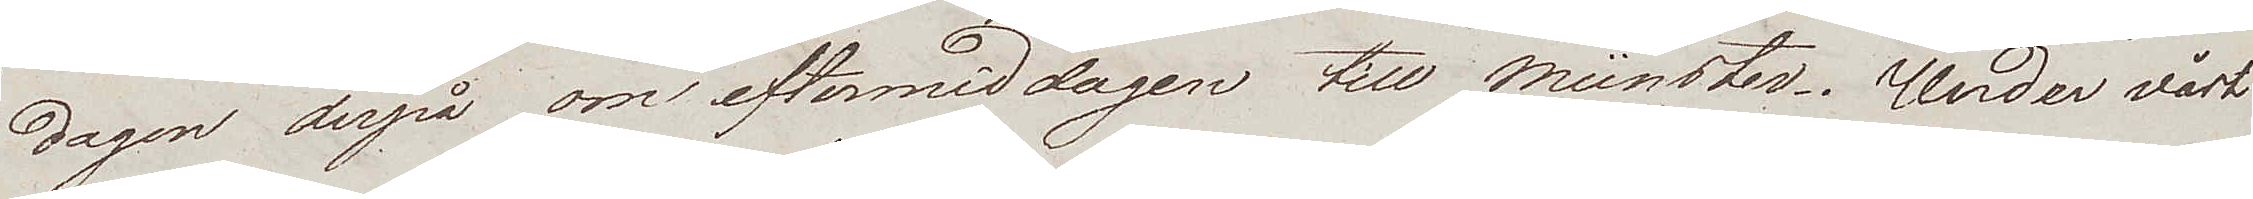dagen derpå om eftermiddagen till Münster. Under vårt
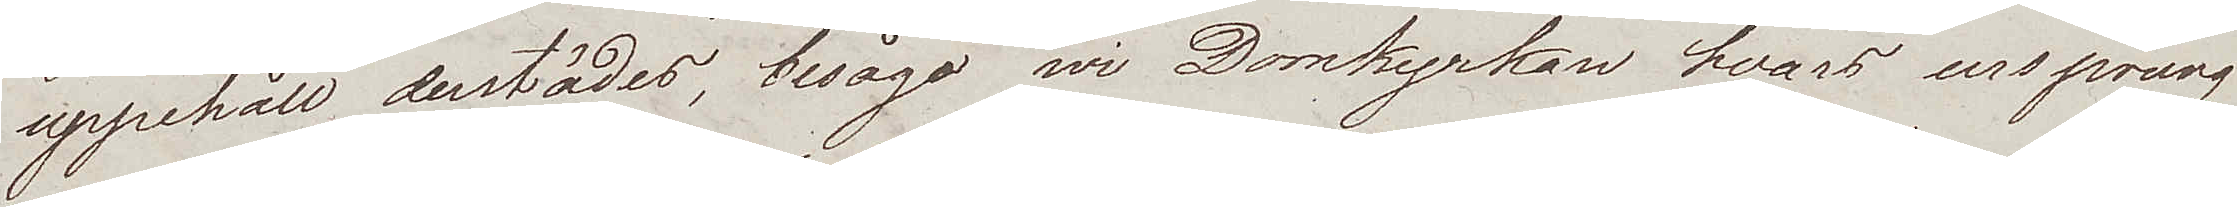uppehåll destädes, besågo wi Domkyrkan hvars ursprung
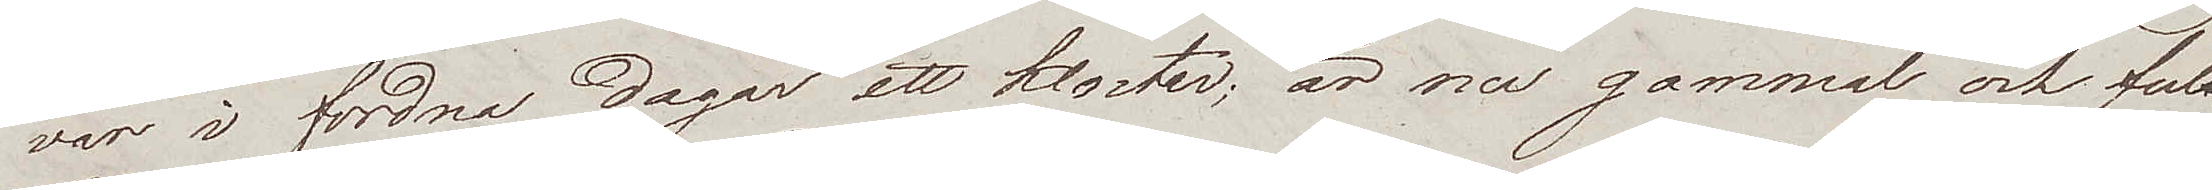var i fordna dagar ett kloster; är nu gammal och ful.
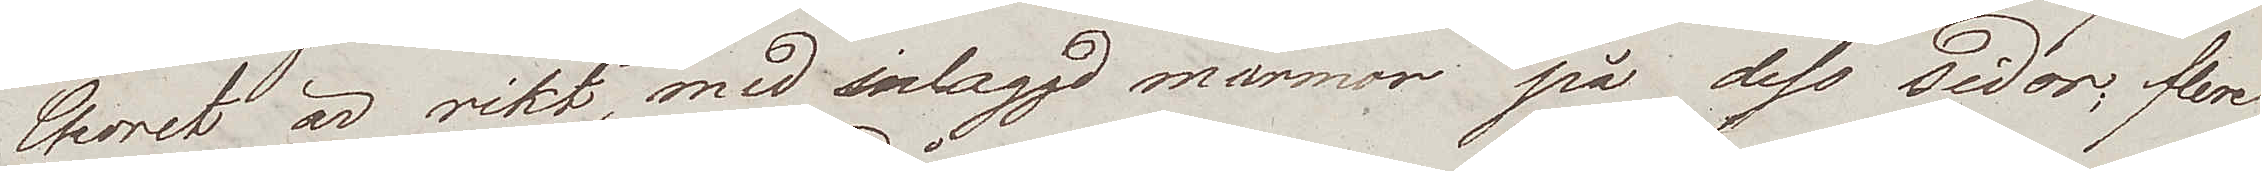Choret är rikt, med inlaggd marmor på dess sidor; flere
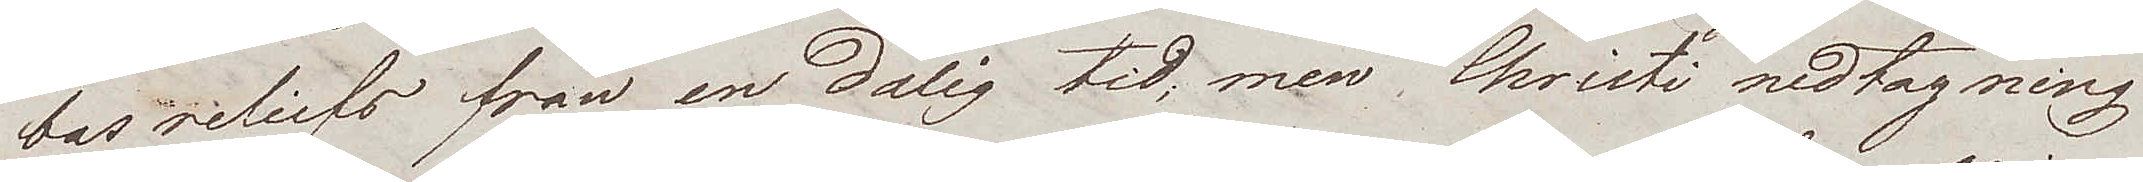bas reliefs från en dålig tid; men Christi nedtagning
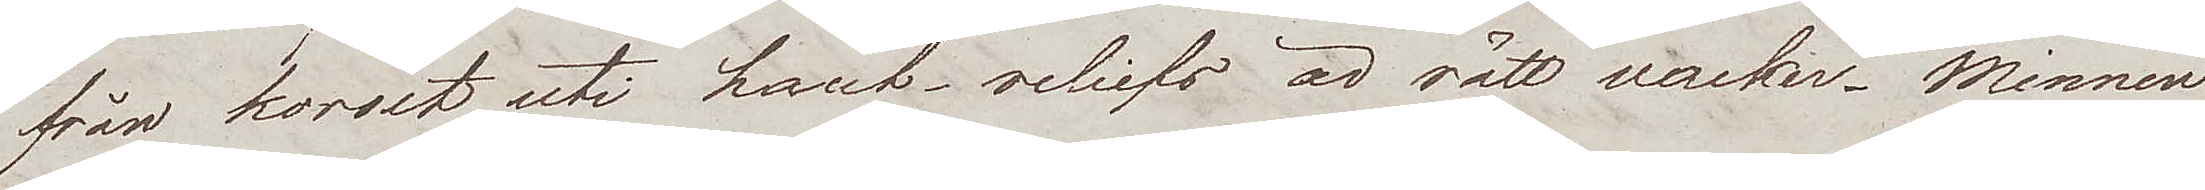från korset uti haut-reliefs är rätt wacker. Minnen
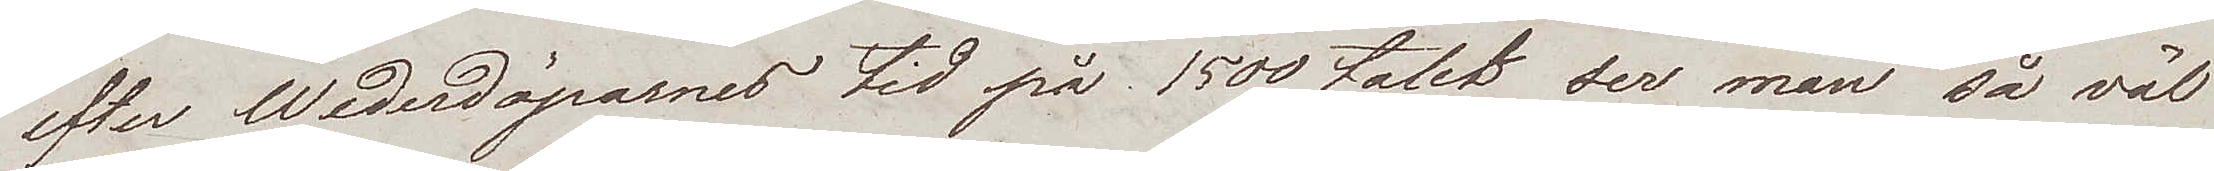efter Wederdöparnes tid på 1500 talet ser man så väl
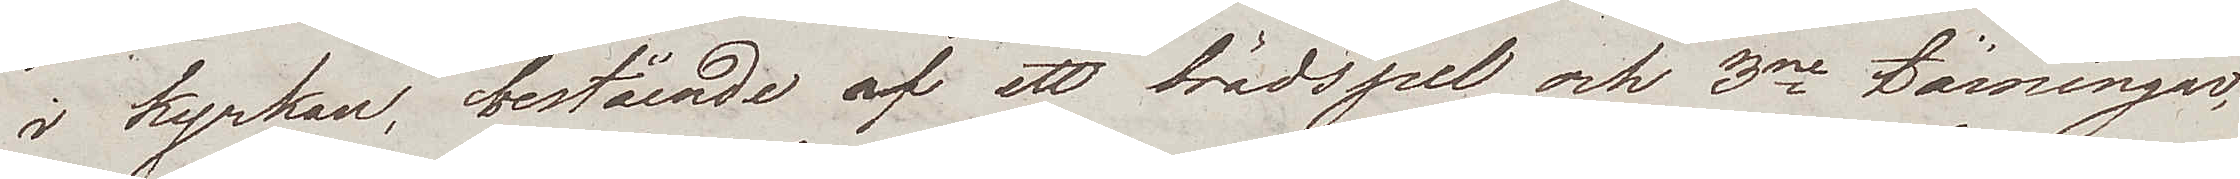i kyrkan, bestående af ett brädspel och 3ne tämingar,
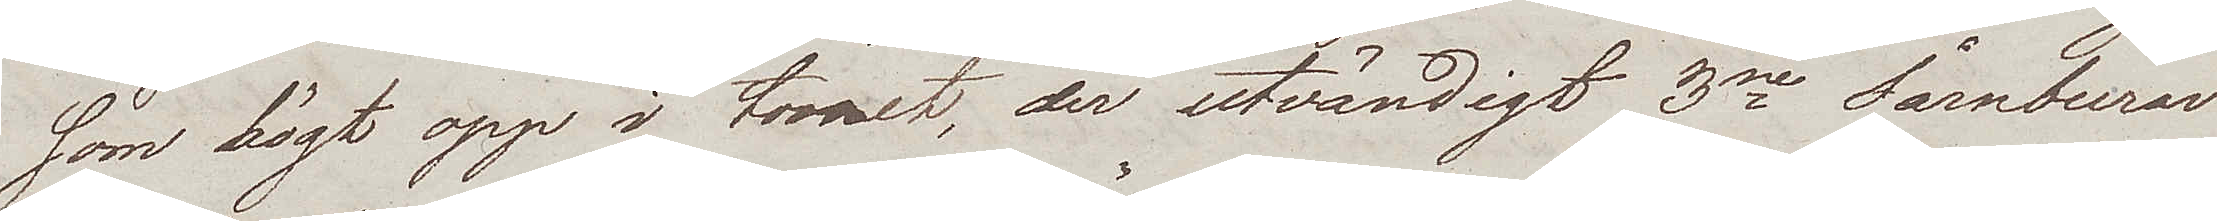som högt opp i tornet, der utvändigt 3ne tårnburar
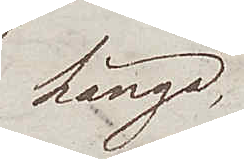hänga,
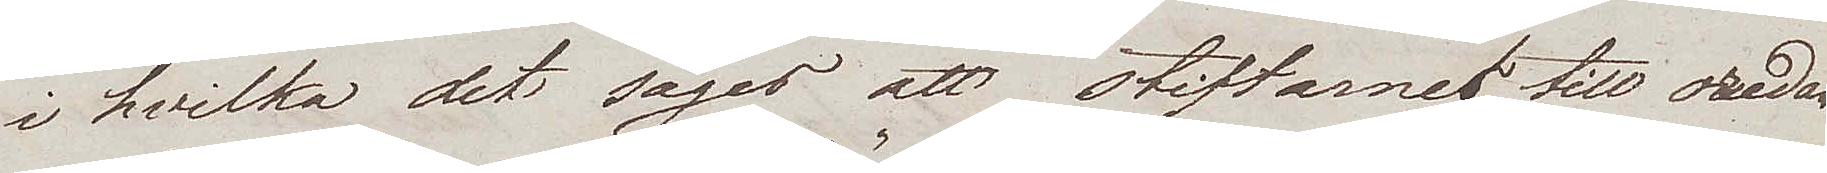i hvilka det säges att stiftarne till oredan
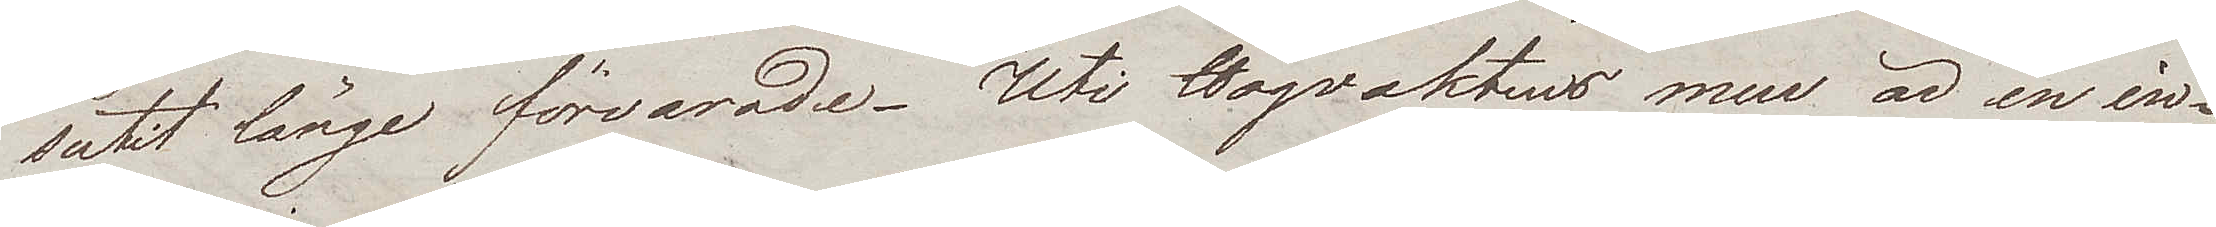sutit länge förvarade. Uti Högvaktens rum är en in¬
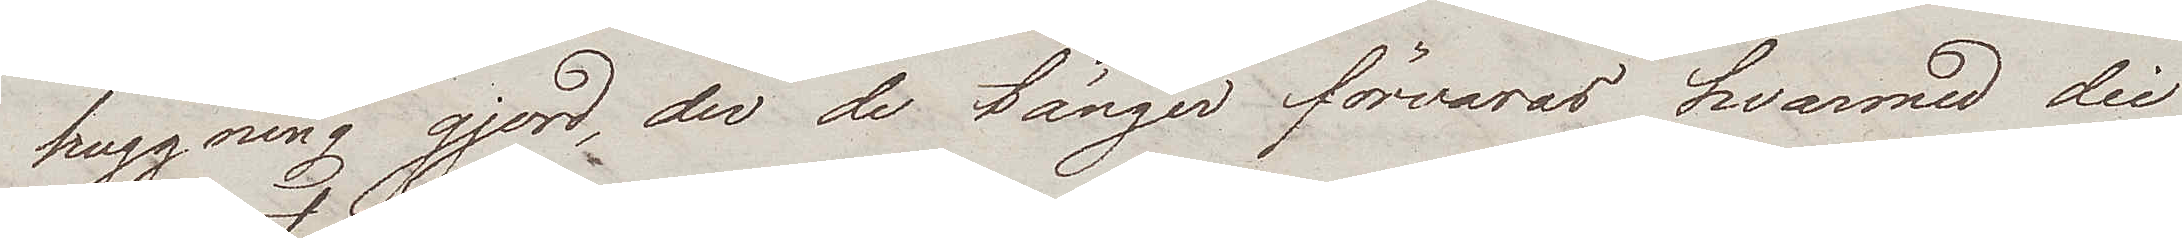huggning gjord, der de tänger förvaras hvarmed die
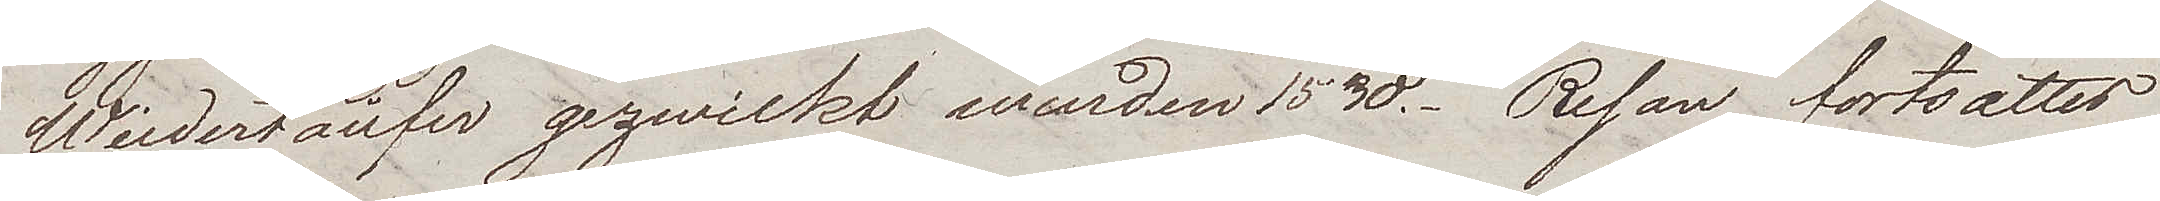Wiedertäufer gezwickt wurden 1530. Resan fortsattes
